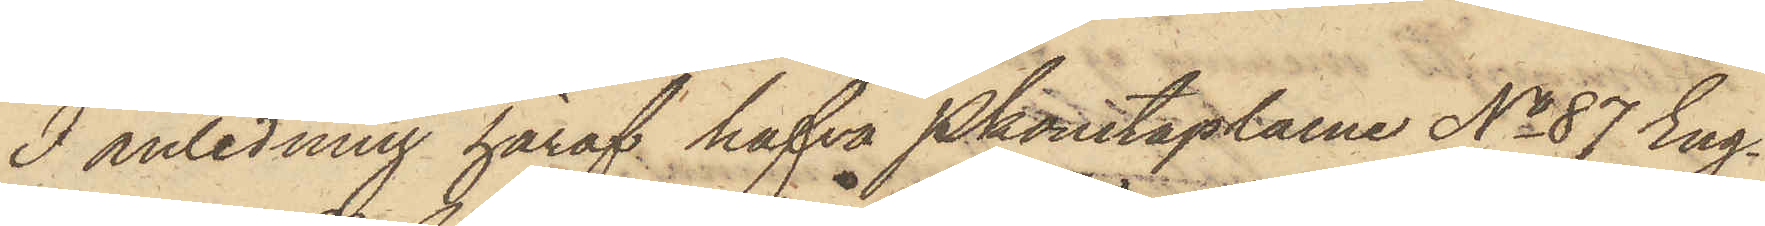I anledning häraf hafva Pkonstaplarne No 87 Eng¬
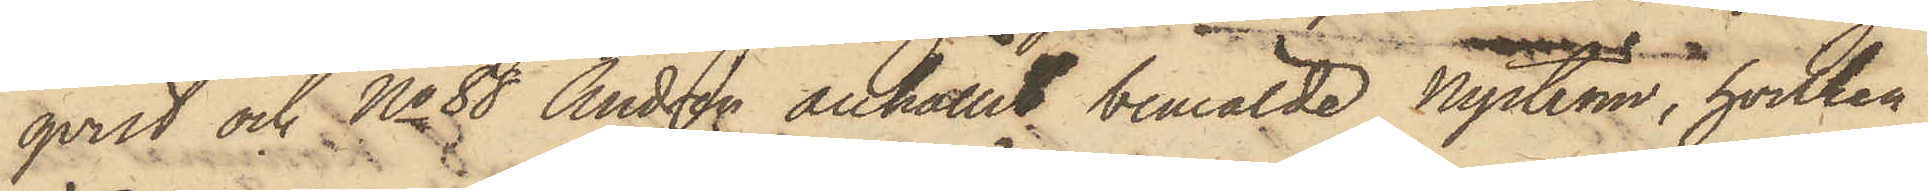qvist och No 88 Andrén anhållit bemälde Nyström, hvilken
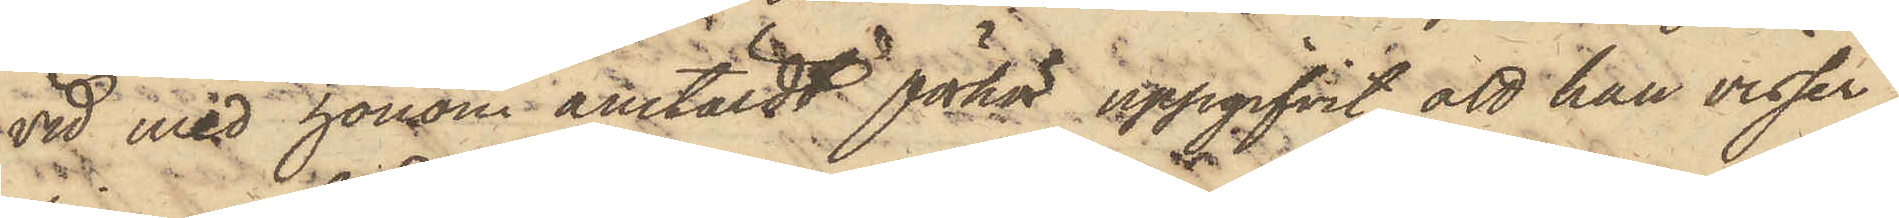vid med honom anstäldt förhör uppgifvit, att han visser¬
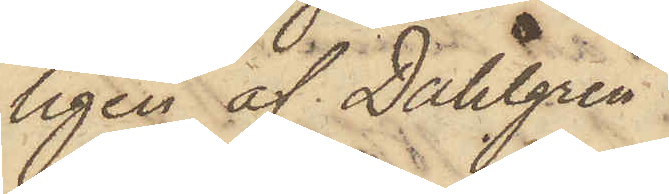ligen af Dahlgren
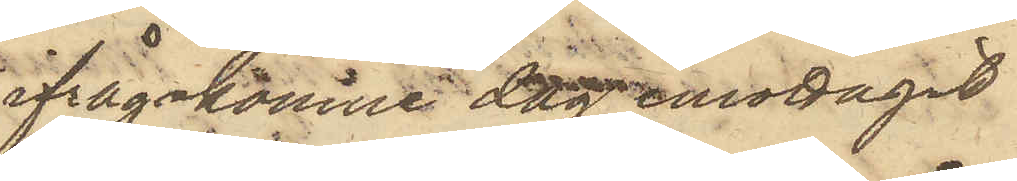ifrågakomne dag emottagit
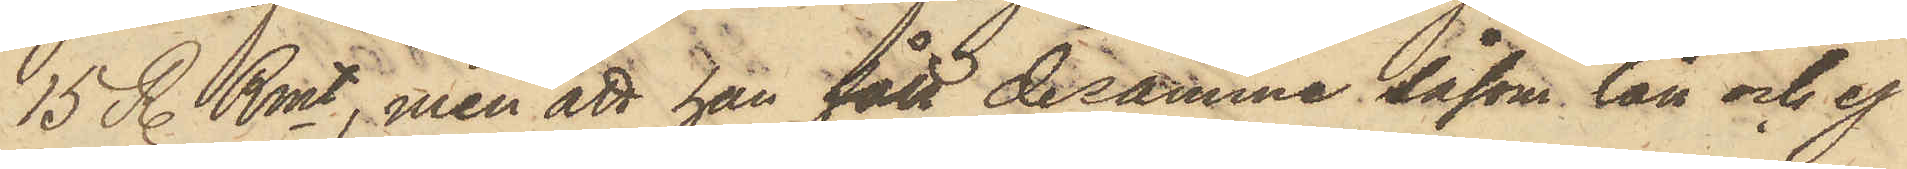15 R. Rmt, men att han fått desamma såsom lån och ej
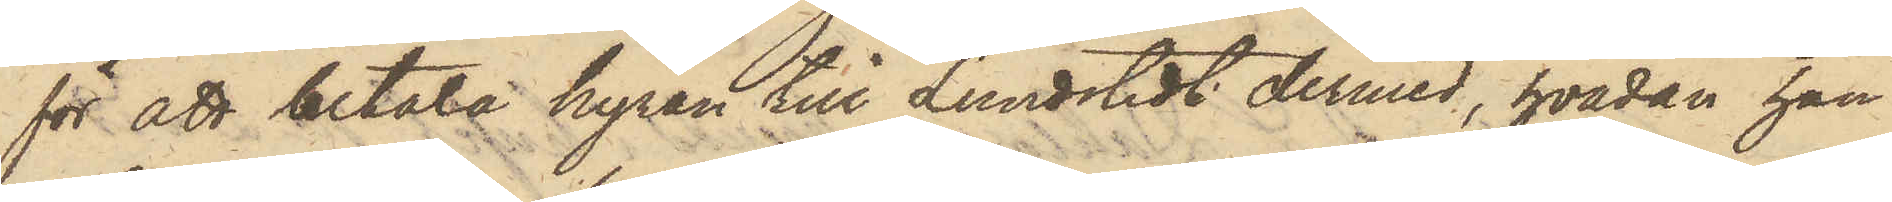för att betala hyran till Lundstedt dermed, hvadan han
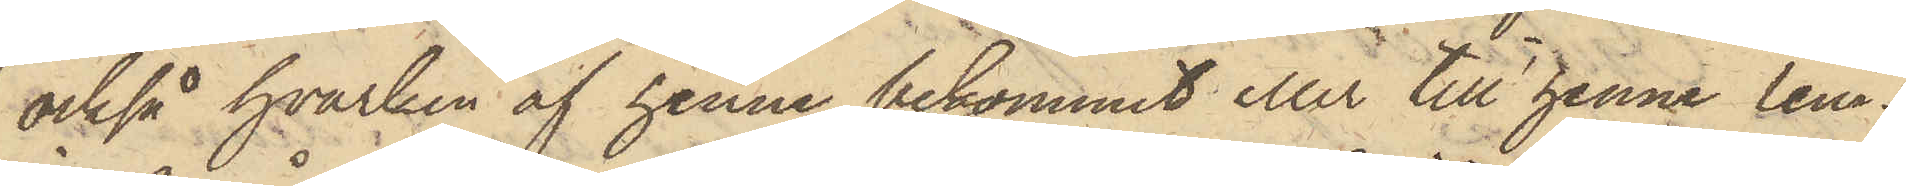också hvarken af henne bekommit eller till henne lem¬
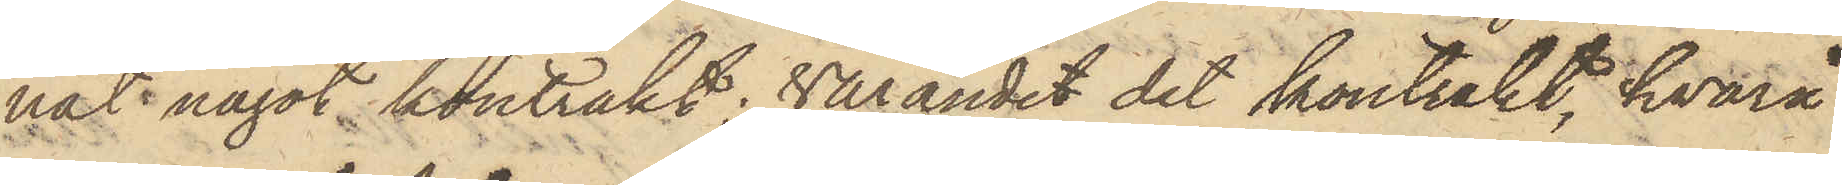nat något kontrakt, varandet det kontrakt, hvarå
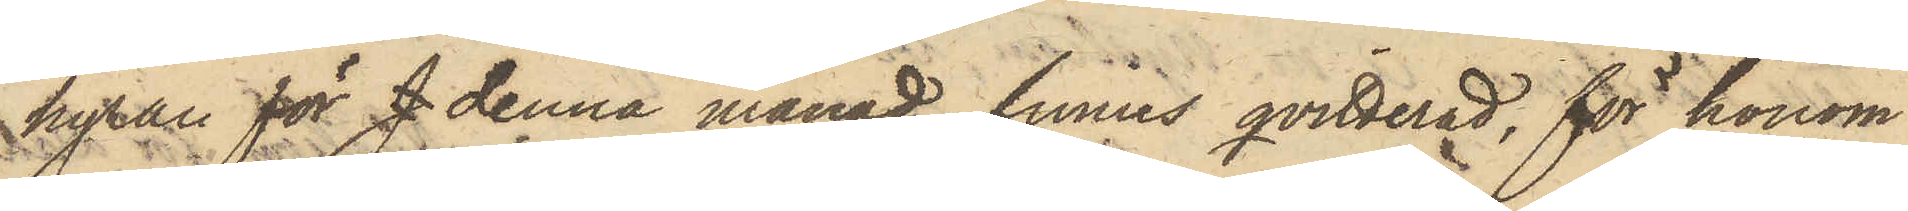hyran för J denna månad finns qvitterad, för honom
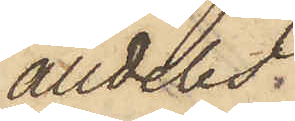alldeles
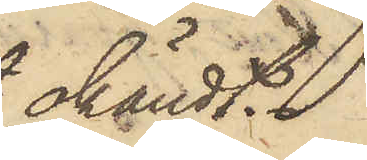okändt.
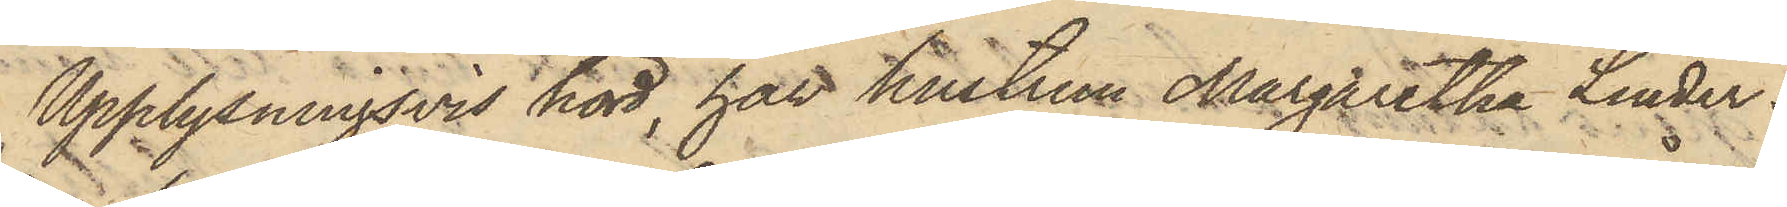Upplysningsvis hörd, har hustrun Margaretha Linder¬
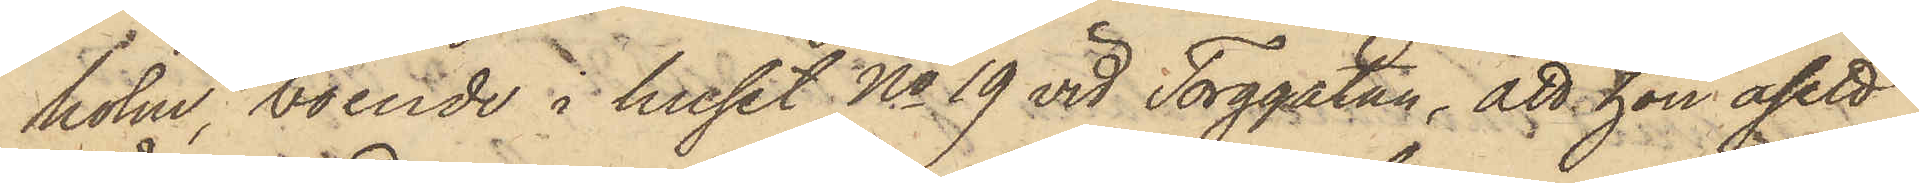holm, boende i huset No 19 vid Torggatan, att hon åsett
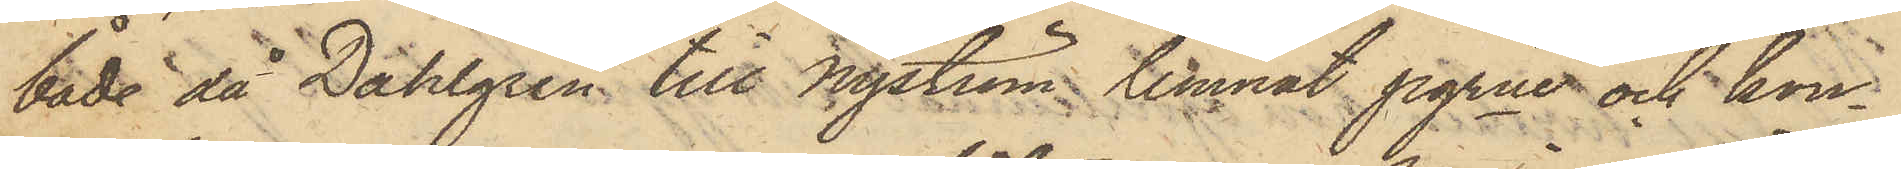både då Dahlgren till Nyström lemnat pgrne och kon¬
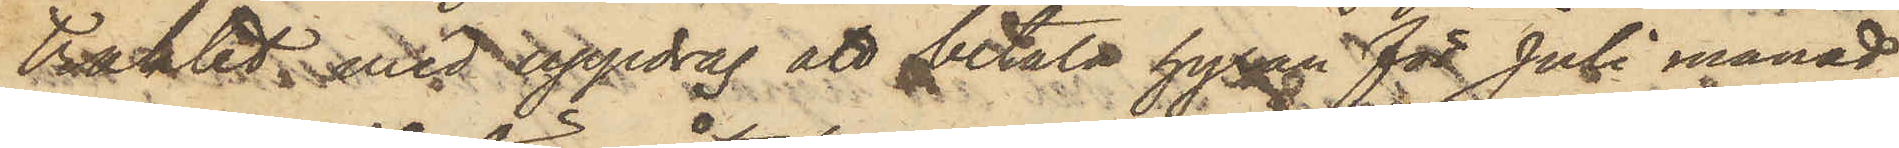trakt med uppdrag att betala hyran för Juli månad
